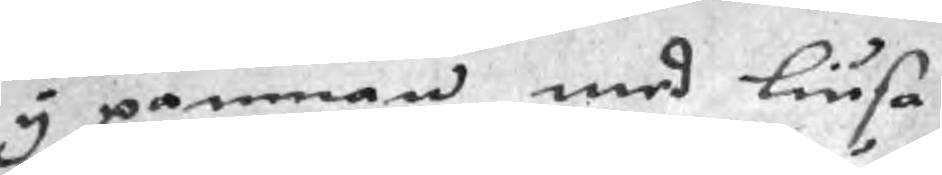i pannan med liusa
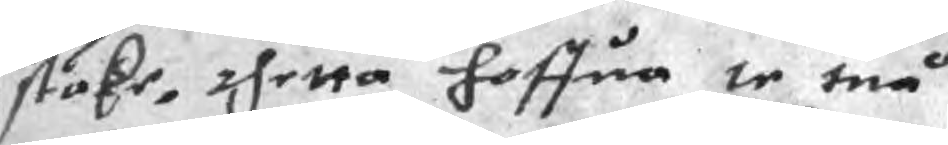ståke, thetta haffua te tuå
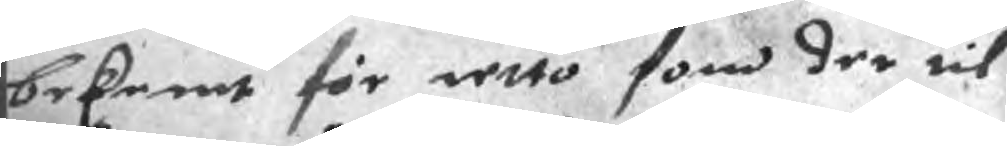bekent för retto som der til
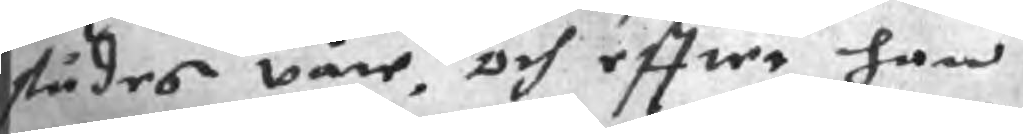städes våre, och effter han
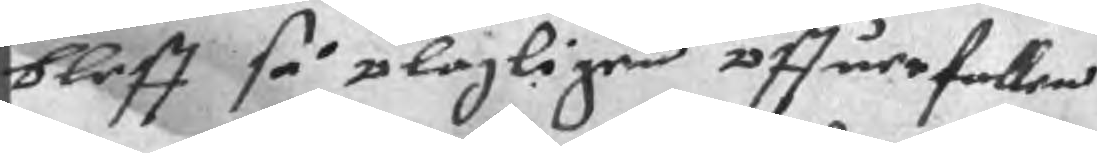bleff så olagligen öffuerfallen
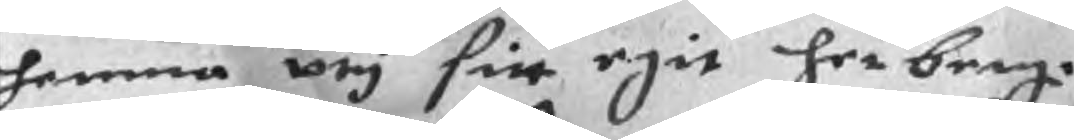hemma vti sin egit herberge
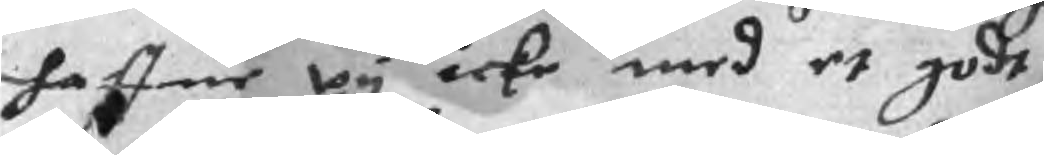haffue vy icke med et godt
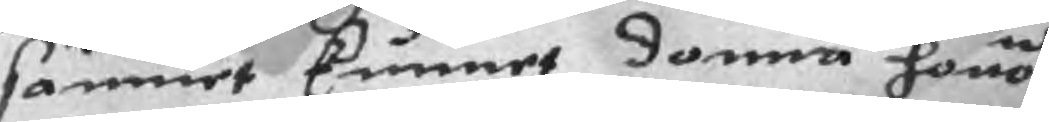samuet kunnet domma honom
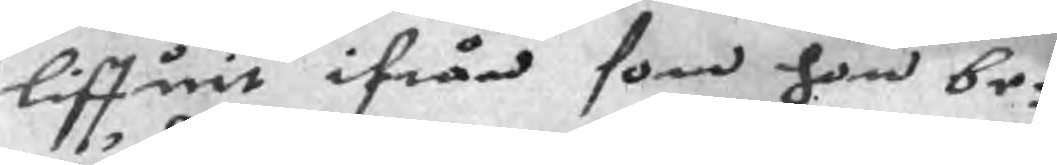liffuit ifrån som hon be¬
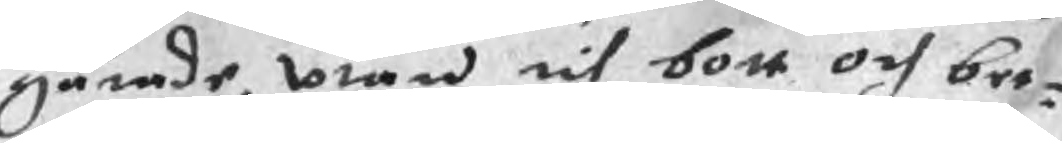gärade, vtan til bott och bet¬
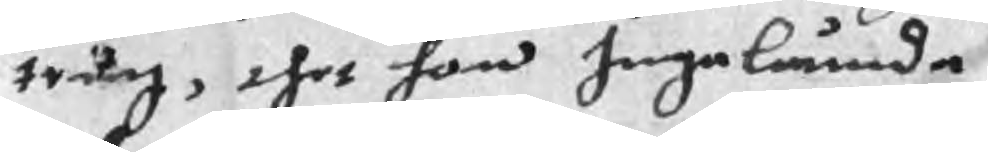tring, thet hon Ingelumda
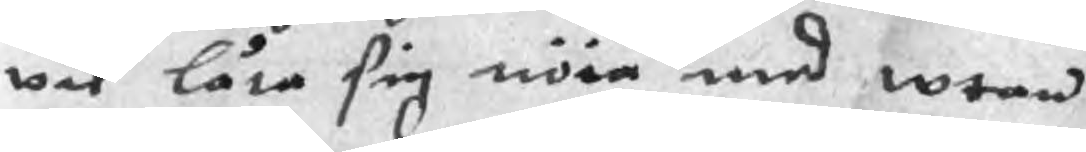vil låta sig nöia med wtan
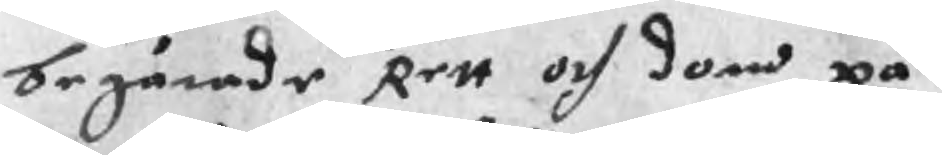begärade Rett och dom på
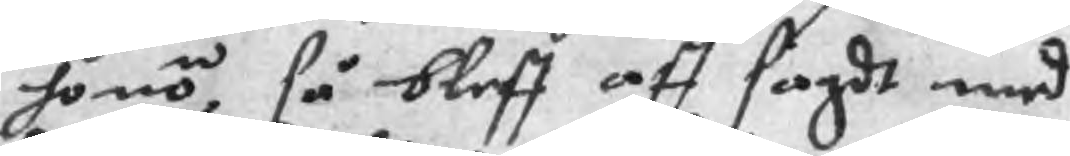honom, så bleff aff sagdt med
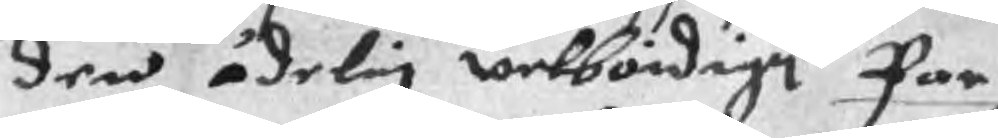den ädelig welbördige Par
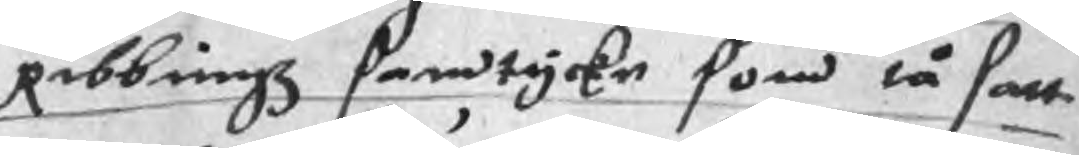Ribbingz samtycke som tå satt
